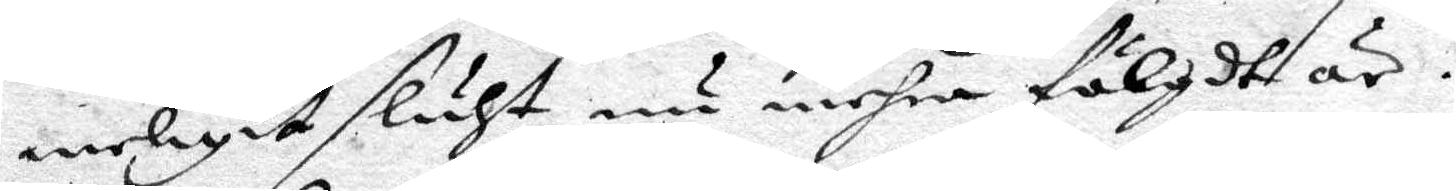meligit sluht nu mehra förlgdt är.
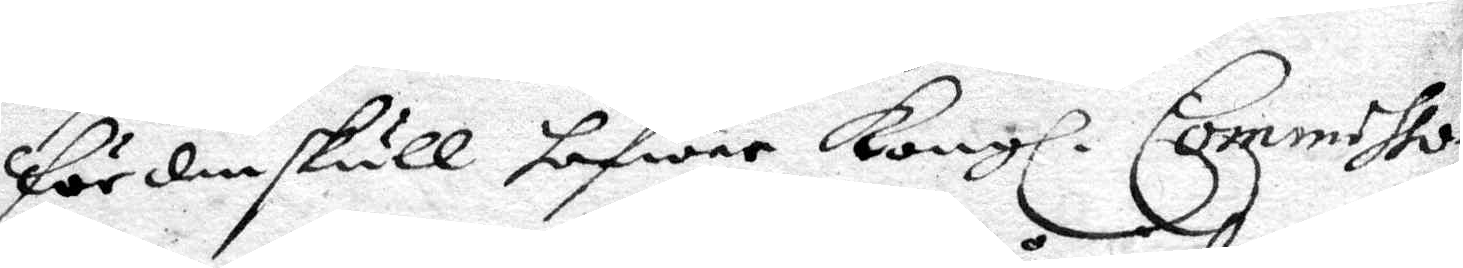För den skull hafwer Kongl. Commisso¬
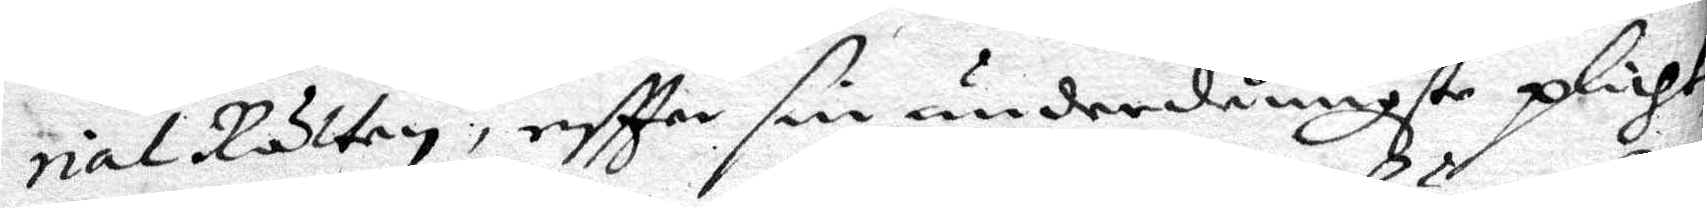rial Rätten, eftter sin underdånigste plicht
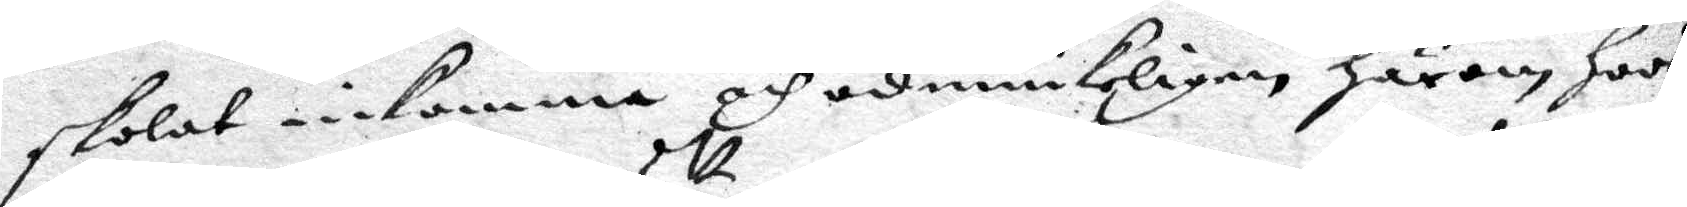skolat inkomma och ödmiukeligen härom hoos
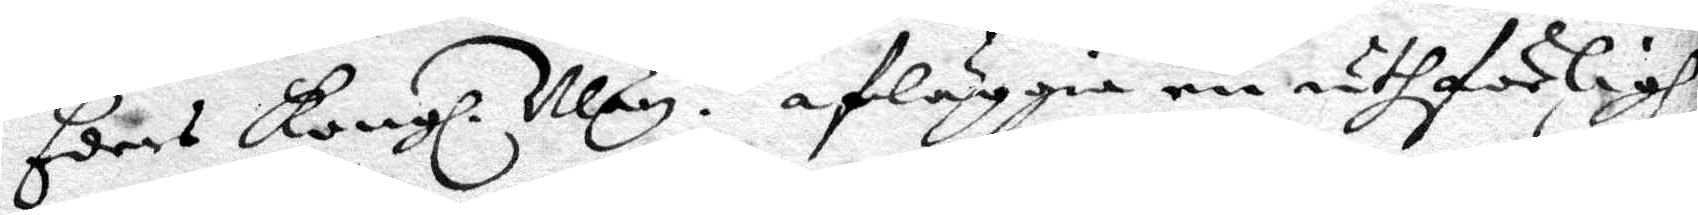Eders Kongl. May:tt afläggia en uthförligh
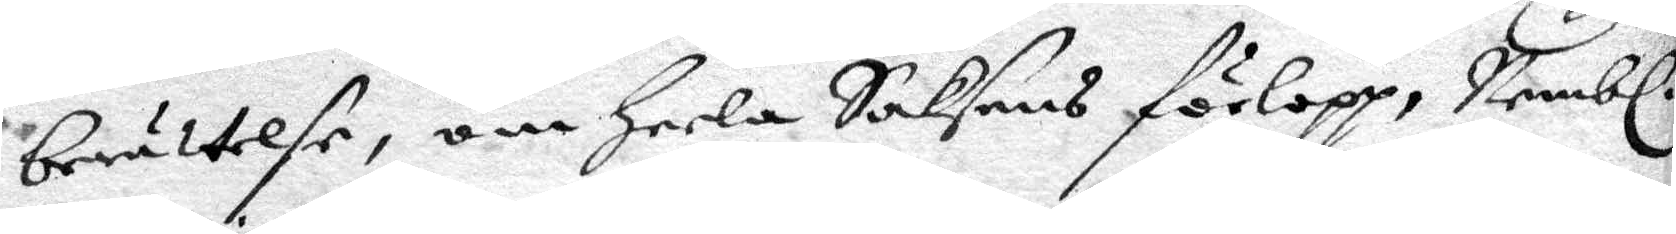berättelse, om heela Saksens förlopp, Nembl.
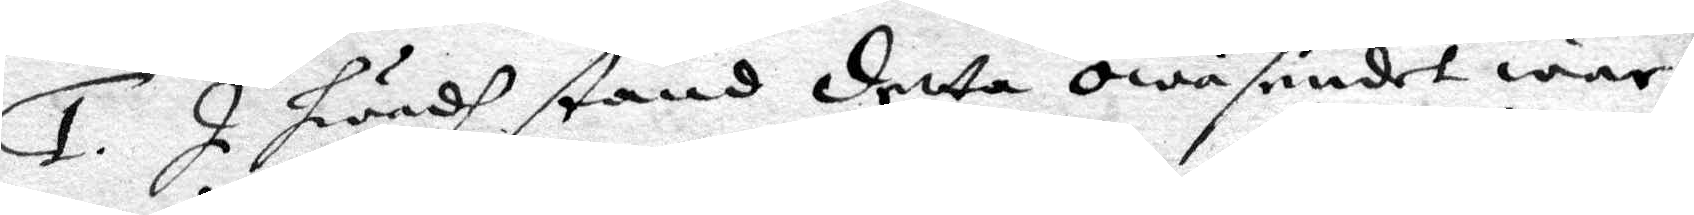1. I hwadh stånd detta owäsendet war,
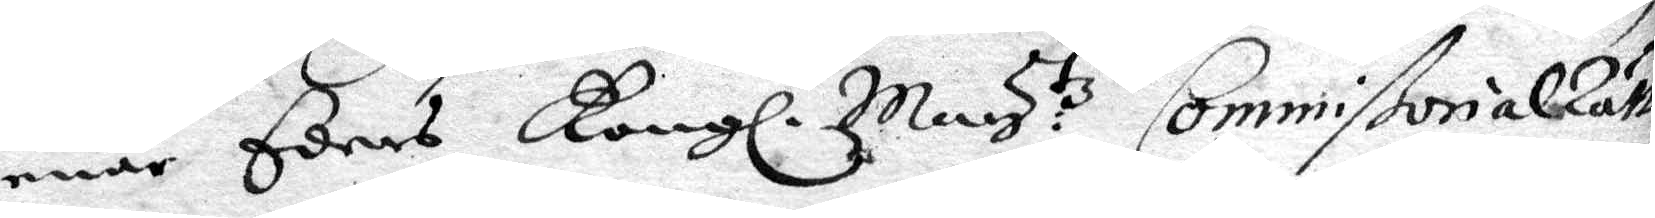enär Eders Kongl. May:tz Commissorial Rätt
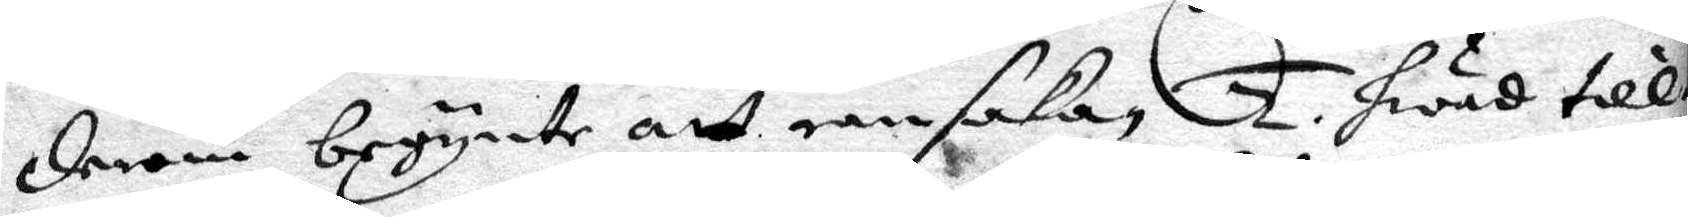derom begynte att ransaka 2. hwad till¬
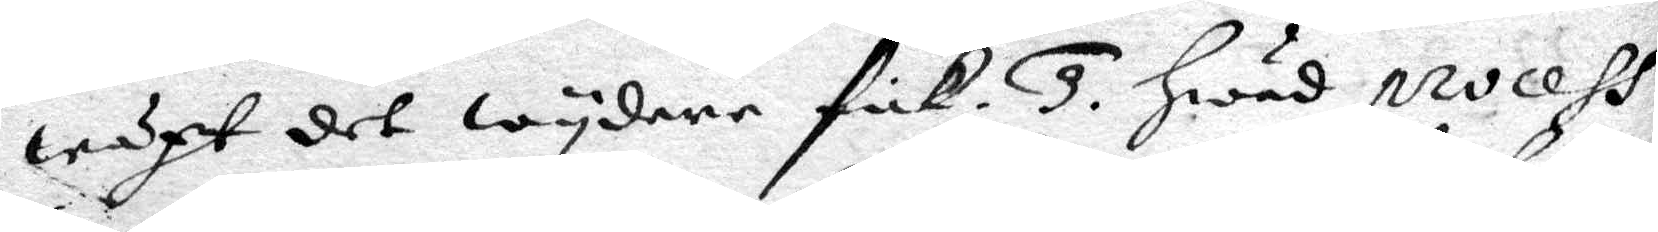wäxt det wydare fick. 3. hwad procehs
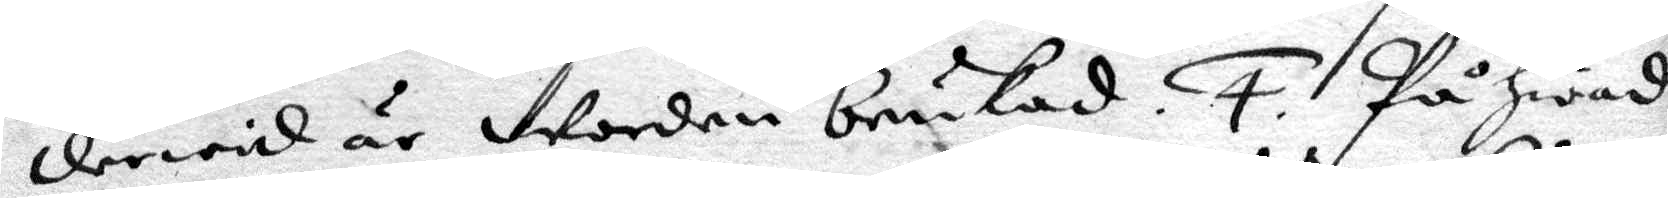derwid är worden brukad. 4. På hwad
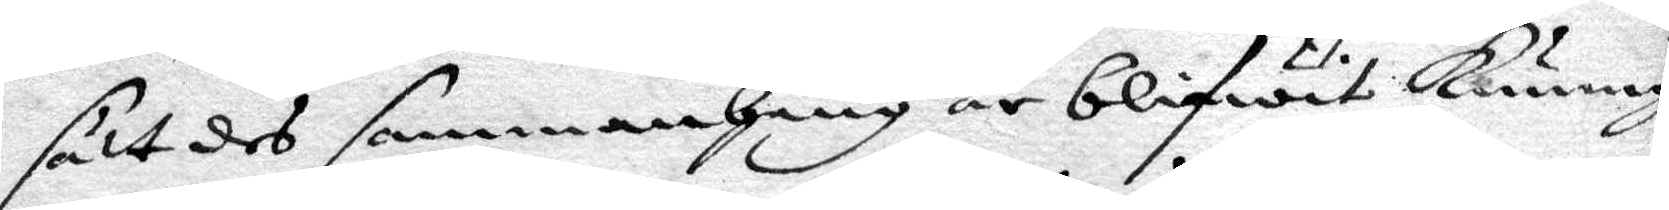sätt des sammanhang är blifwit kunnig
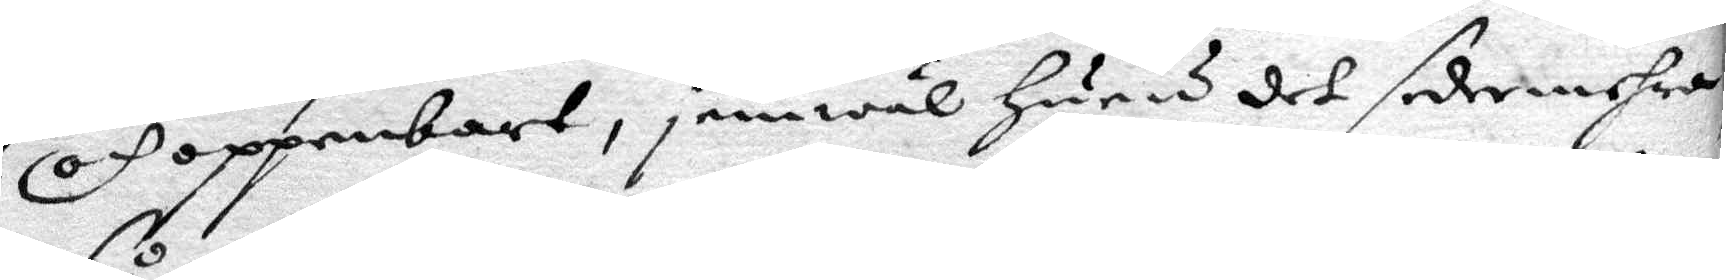och oppenbart, jemwäl huru det sedermehra
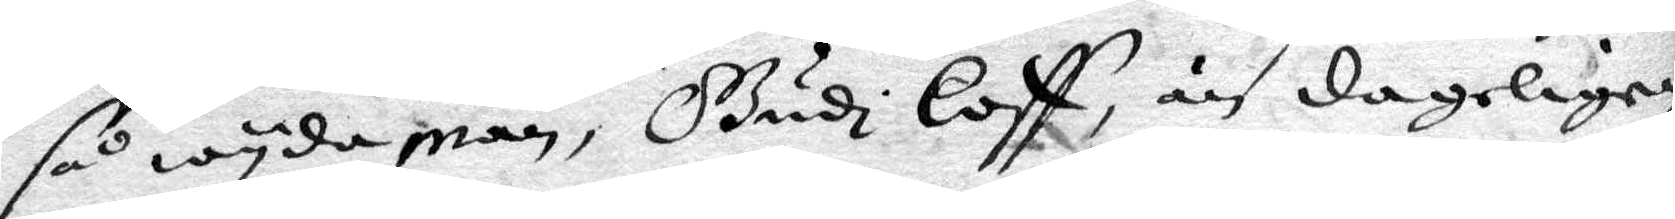så wyda man, Gudi Loff, än dageligen
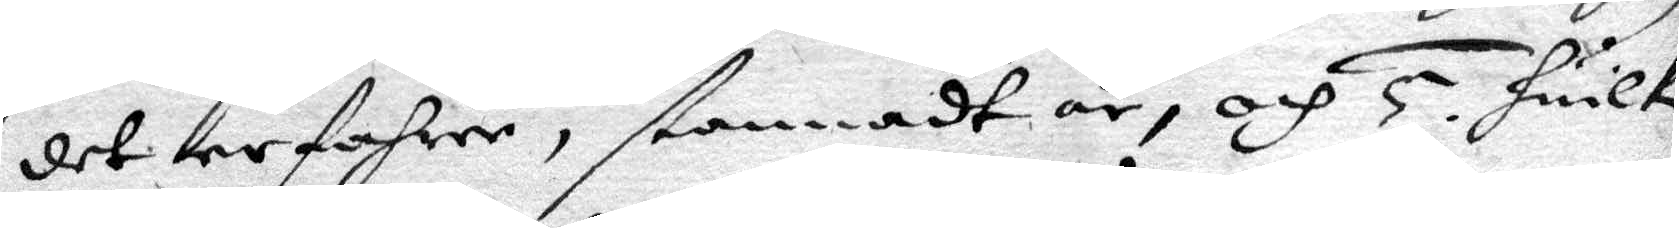det erfohrer, stannadt är, och 5. huilke
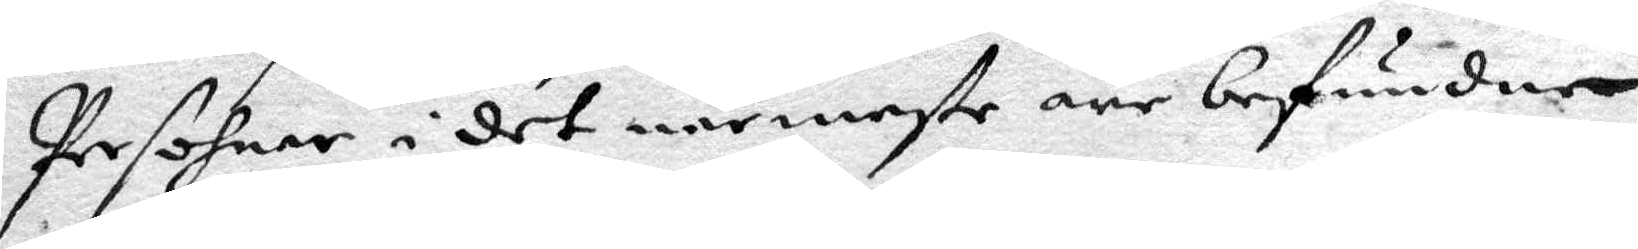Persohner i det närmaste äre befundne
